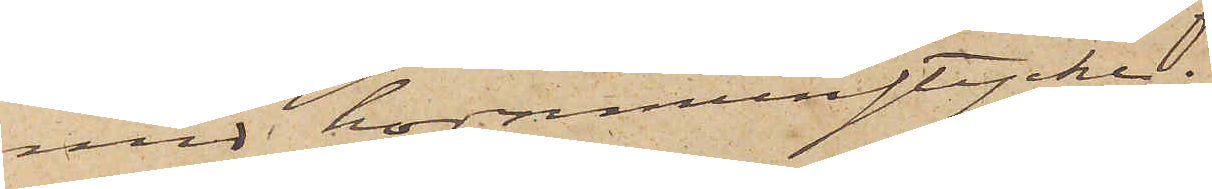med hornmunstycke;
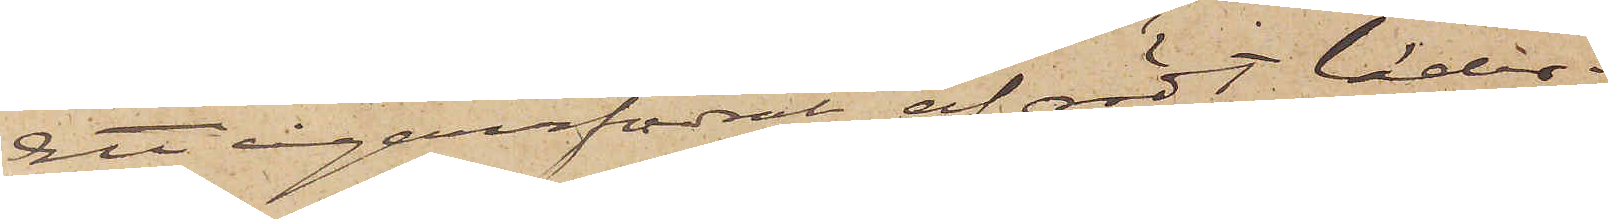Ett cigarrfodral af rödt läder;
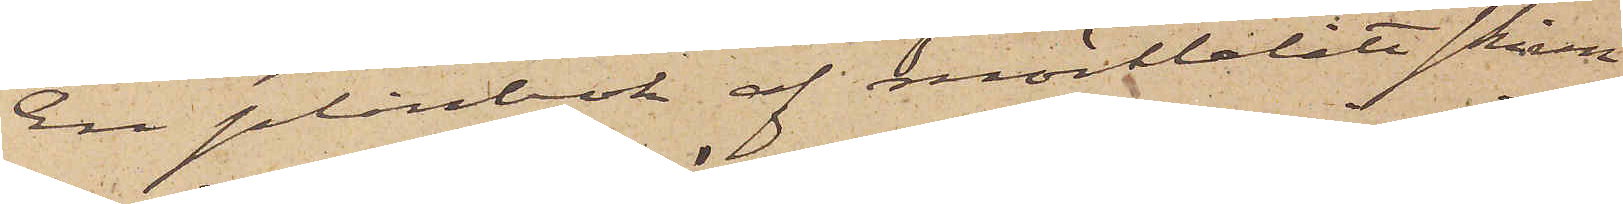En plånbok af mörkblått skinn
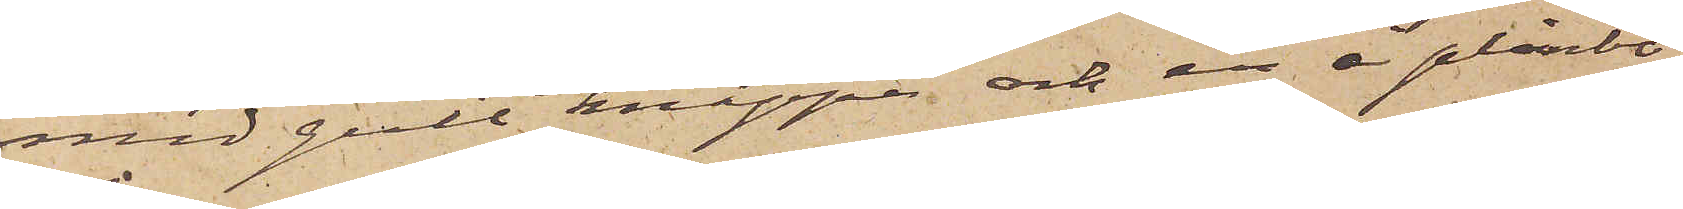med gult knäppe och en å plånbo¬
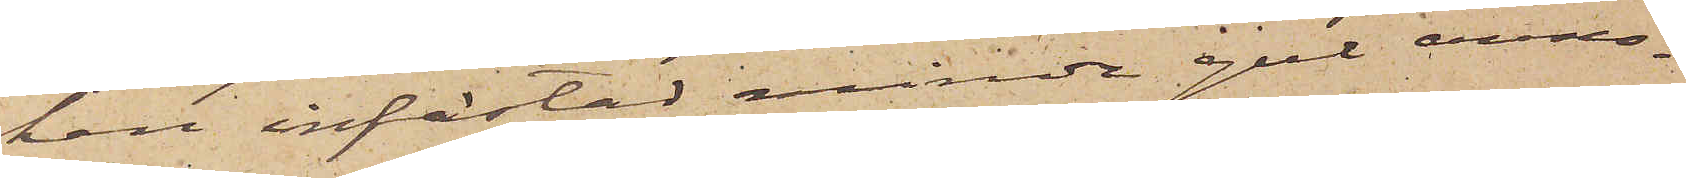ken infästad mindre gul anno¬
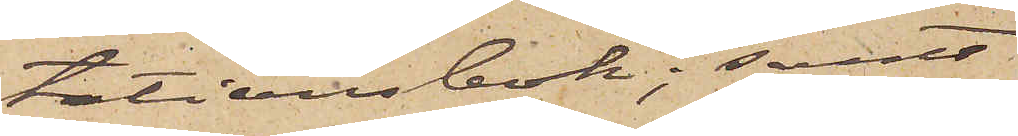tationsbok; samt
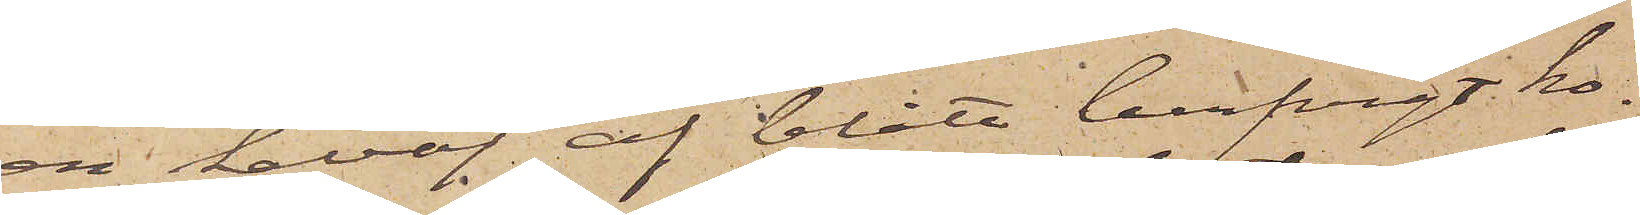en kavaj af blått lurfvigt ko¬
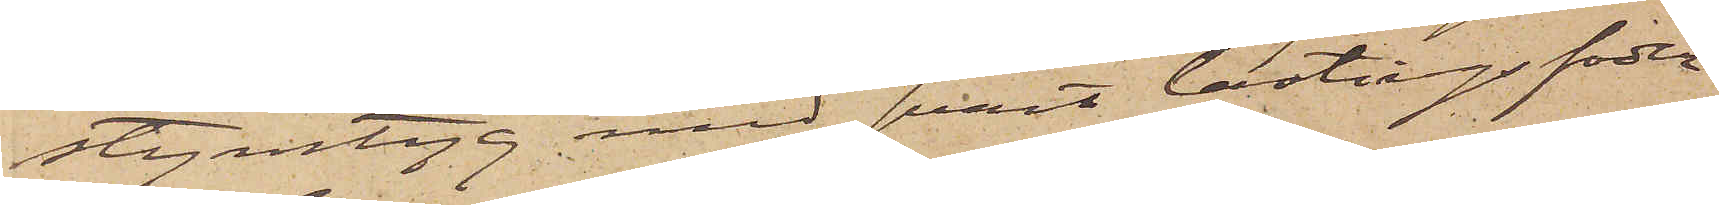stymtyg med svart lastigsfoder
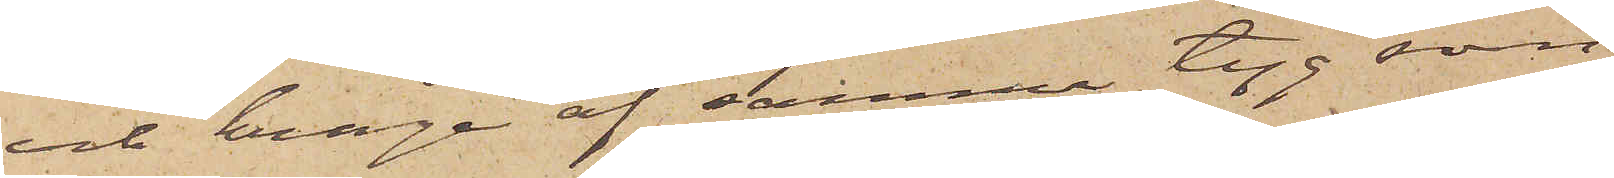och krage af samma tyg som
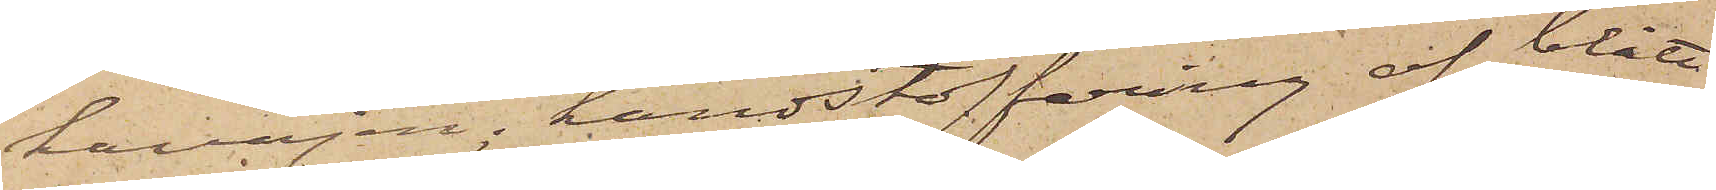kavajen, handstoffering af blått
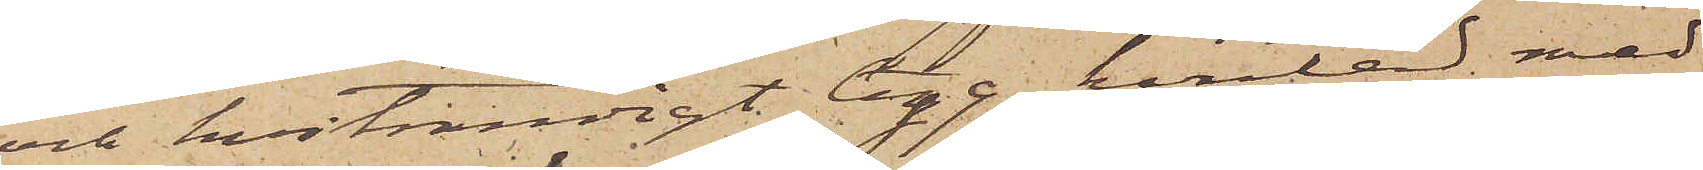och hvitrandigt tyg, kantad med
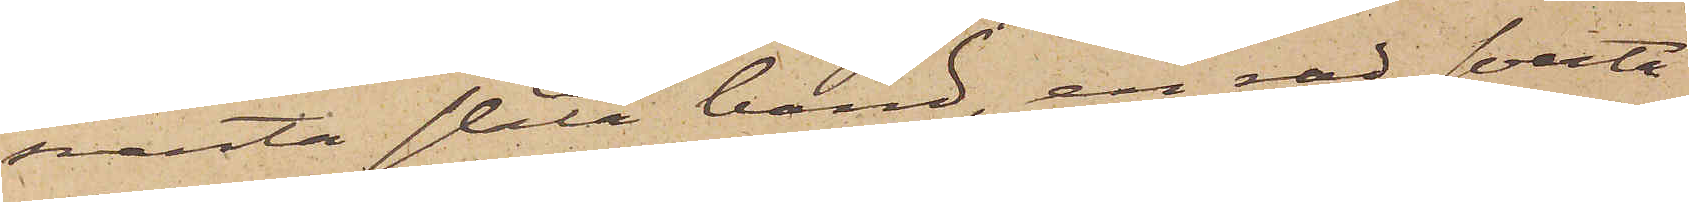svarta släta band, en rad svarta
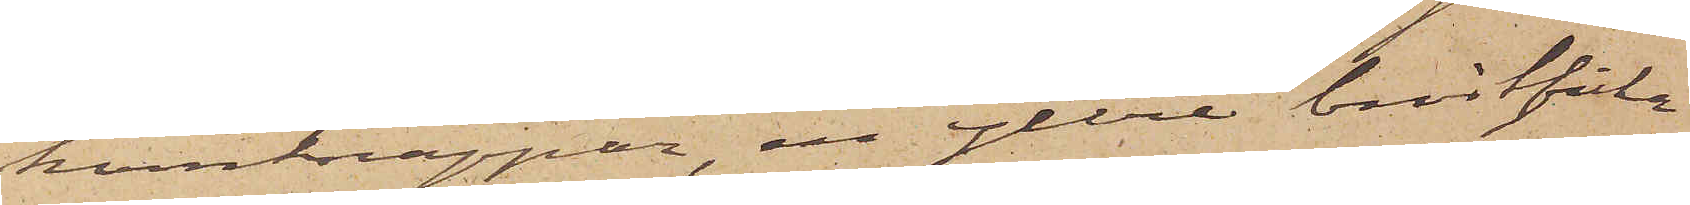hornknappar, en yttre bröstficka
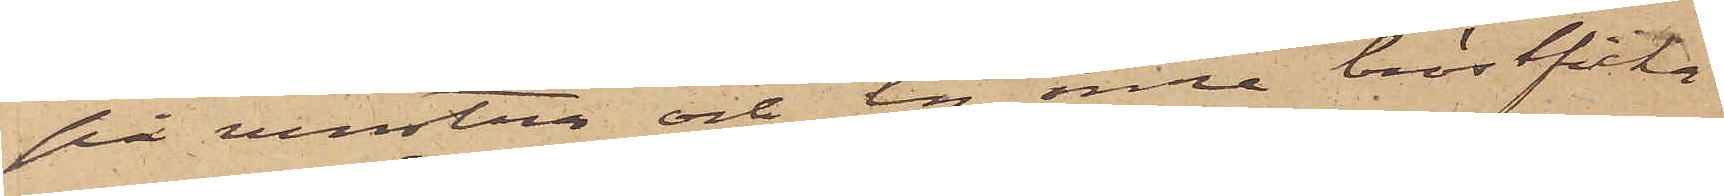på venstra och en inre bröstficka
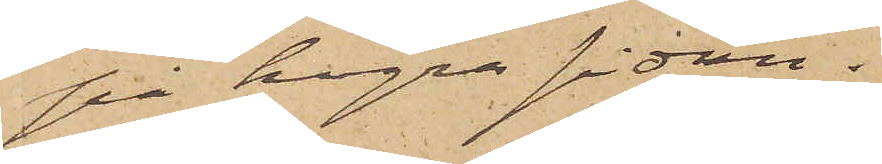på högra sidan.
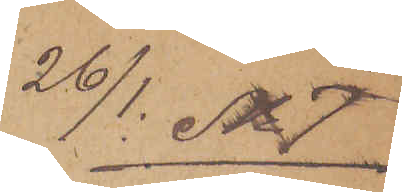26/1 No 7
